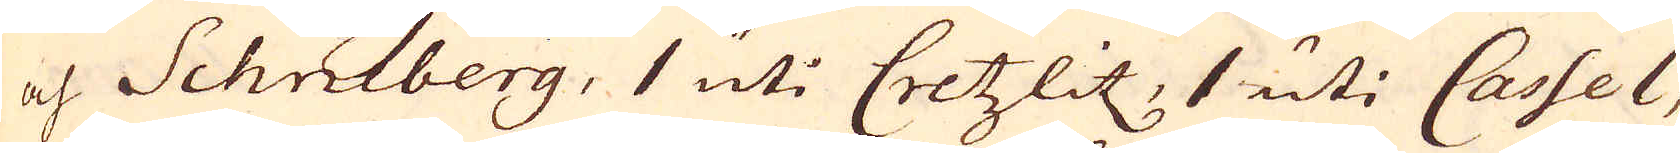och Schneberg, 1 uti Cretzlitz, 1 uti Cassel,
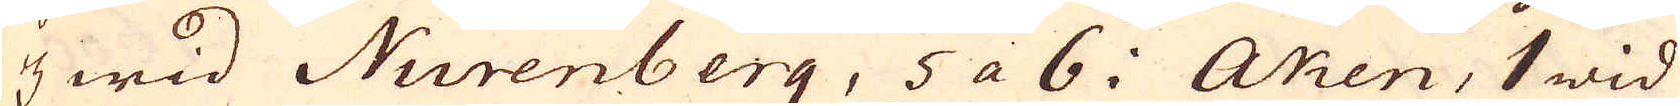4 wid Nurenberg, 5 a 6. Aken, 1 wid
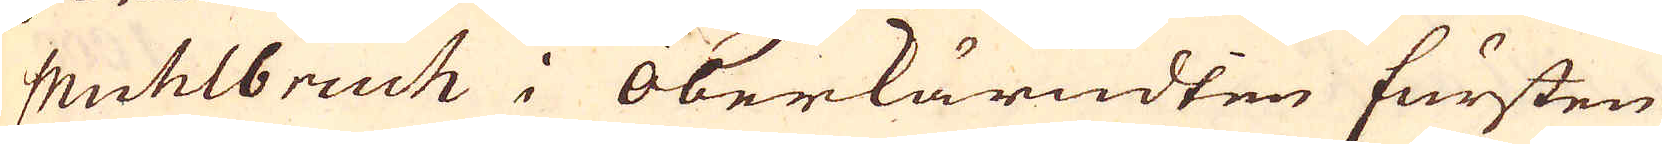Muhlbruch i Oberlärndten fursten
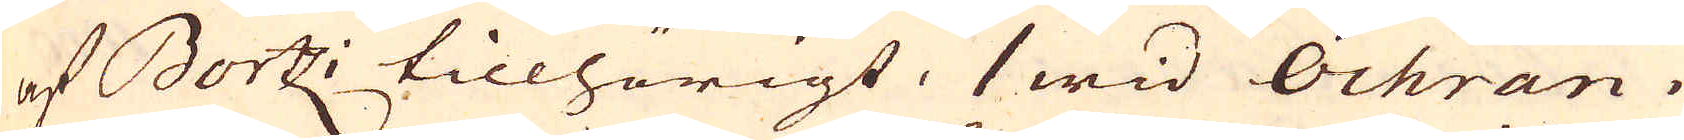af Bortz; tillhörigt, 1 wid Ochran i
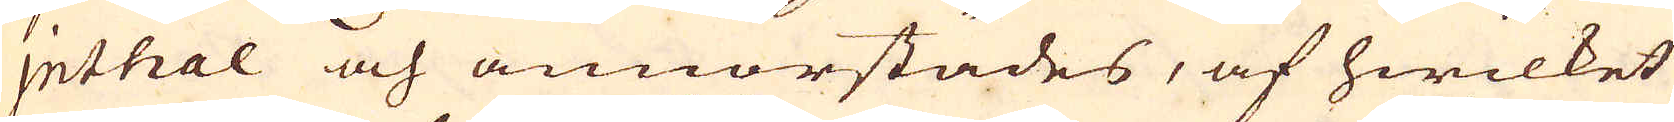Inthal och annorstädes, af hwilket
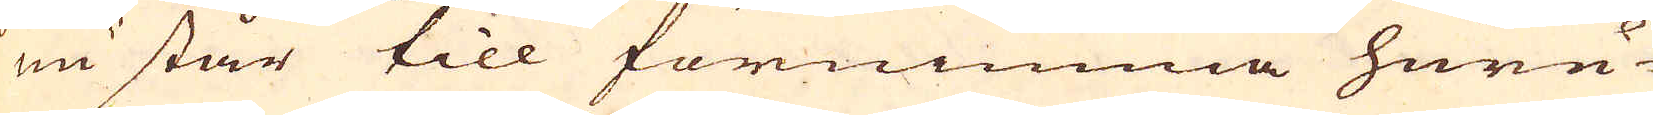nu står till förnimma huru-
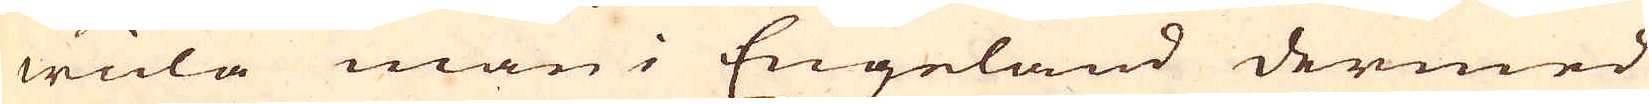wida man i Engeland dermed
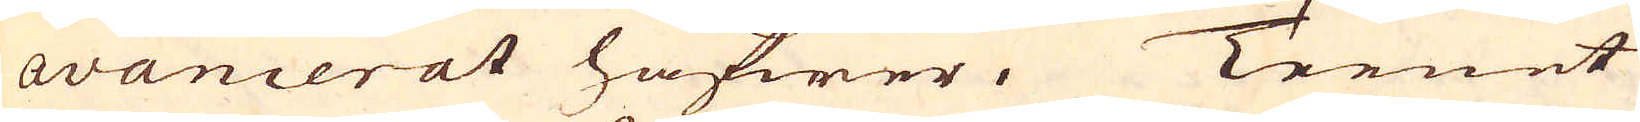avancerat hafwer. Teenet
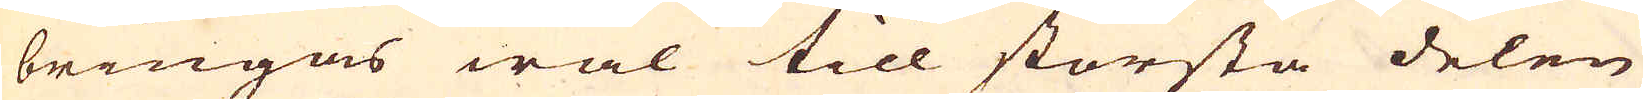bringas wäl till största delen
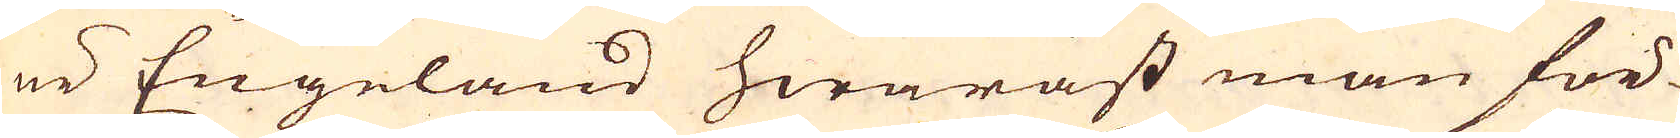ur Engeland hwarast man för-
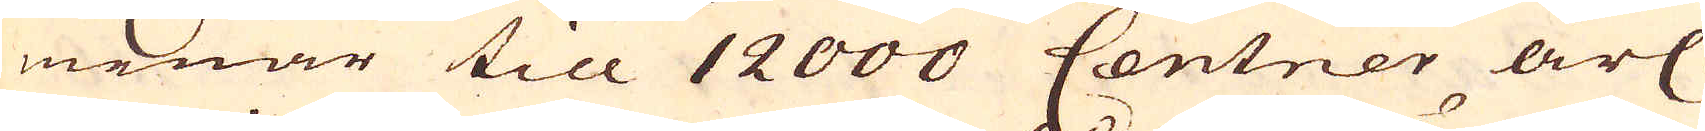menar till 12000 Centner årl.
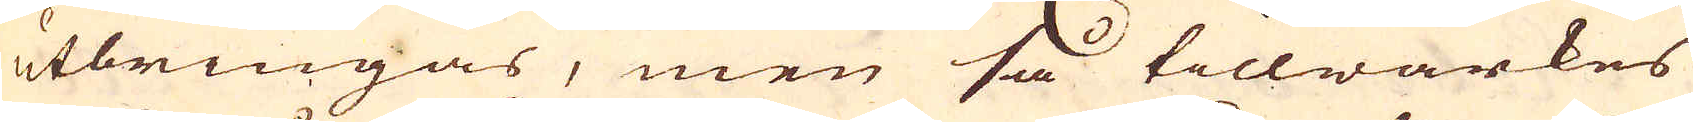utbringas, men så tillwärkes
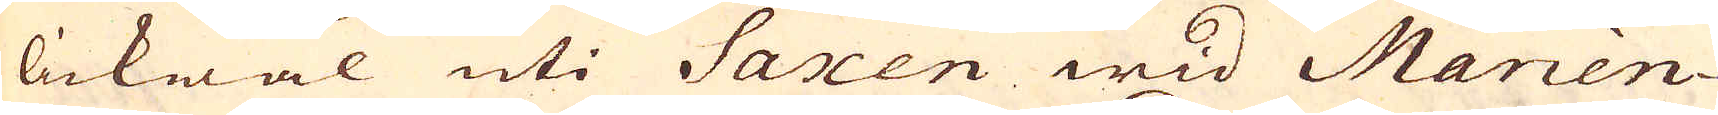lickwäl uti Saxen wid Marien-
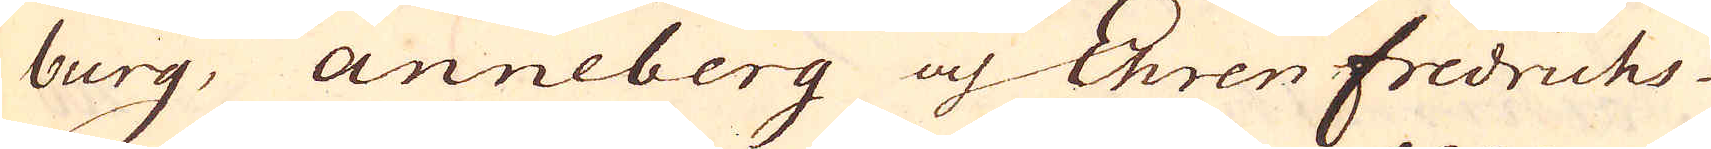burg, Anneberg och Ehren Fredrichs-
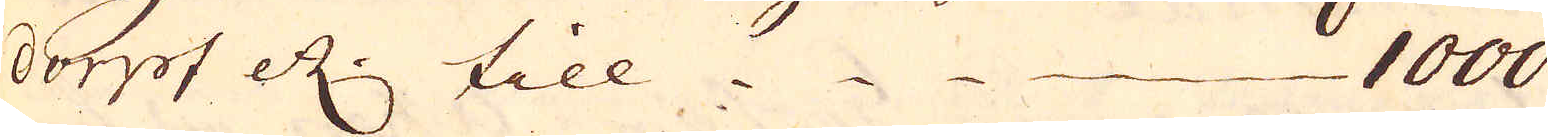dorpf etc. till 1000
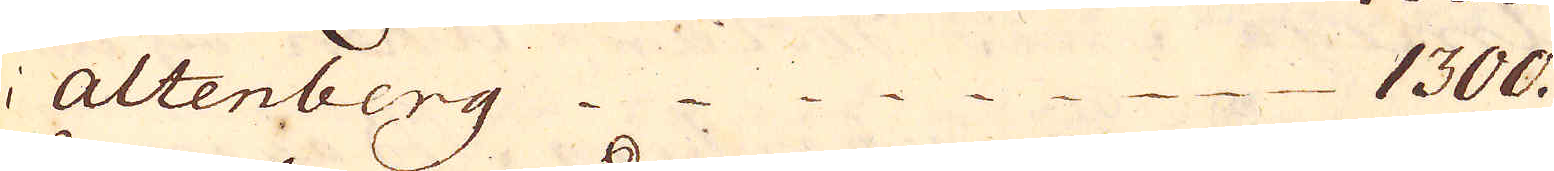i Altenberg 1300.
